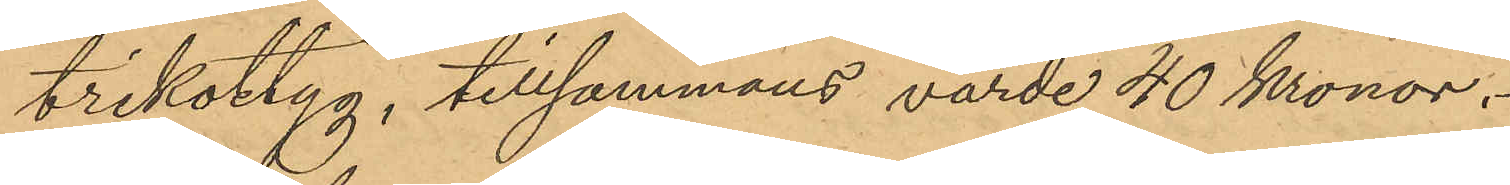trikottyg, tillsammans värde 40 Kronor.
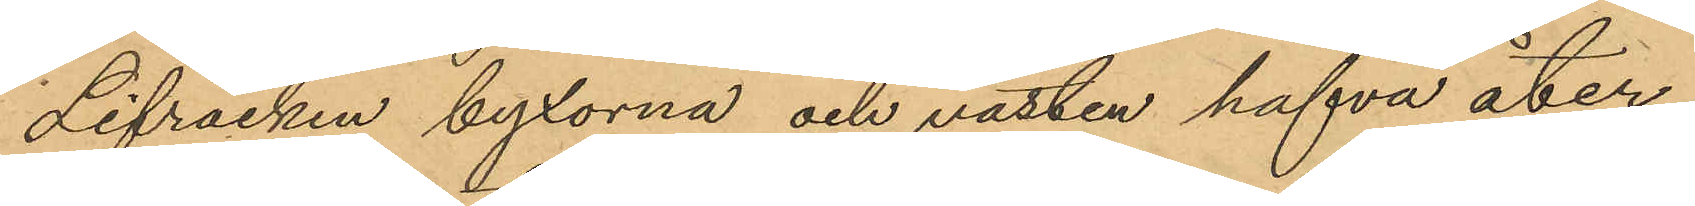Lifrocken byxorna och västen hafva åter¬
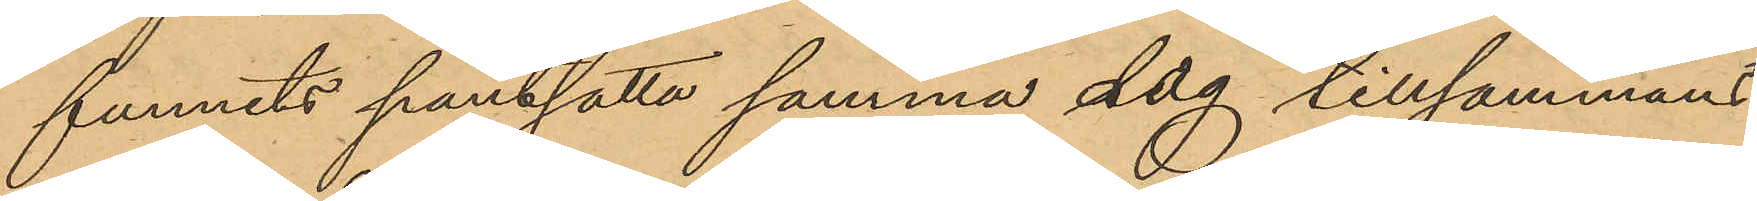funnits pantsatta samma dag tillsammans
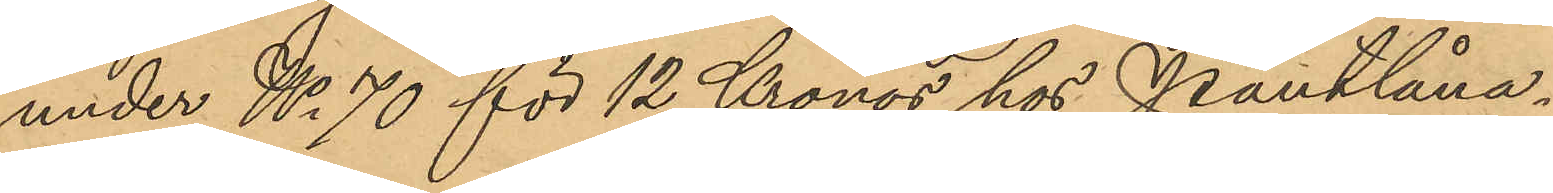under No 70 för 12 Kronor hos Pantlåna¬
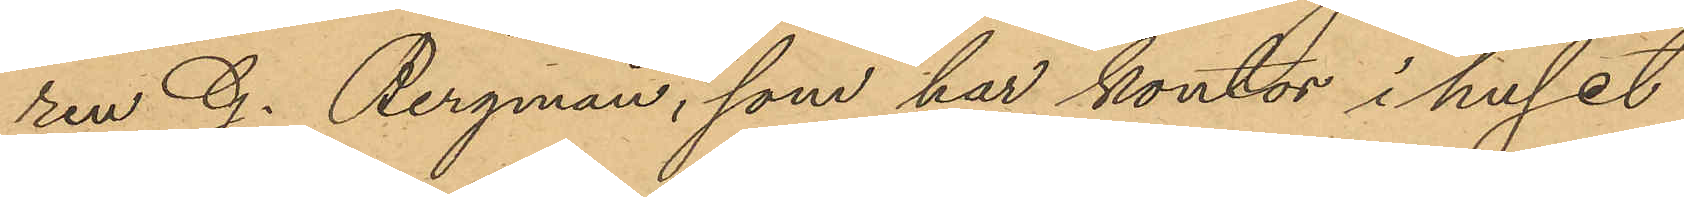ren G. Bergman, som har kontor i huset
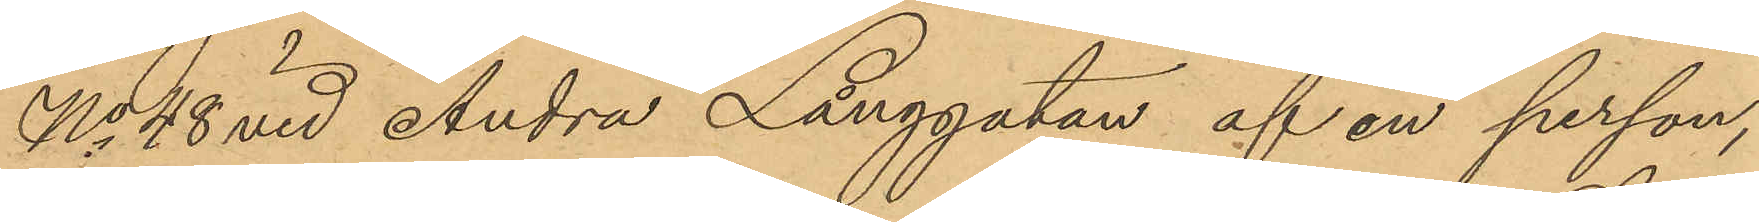No 48 vid Andra Långgatan af en person,
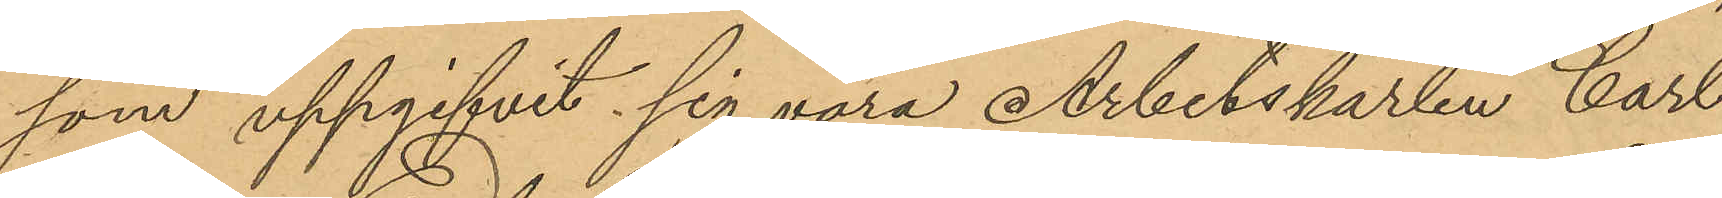som uppgifvit sig vara Arbetskarlen Carl
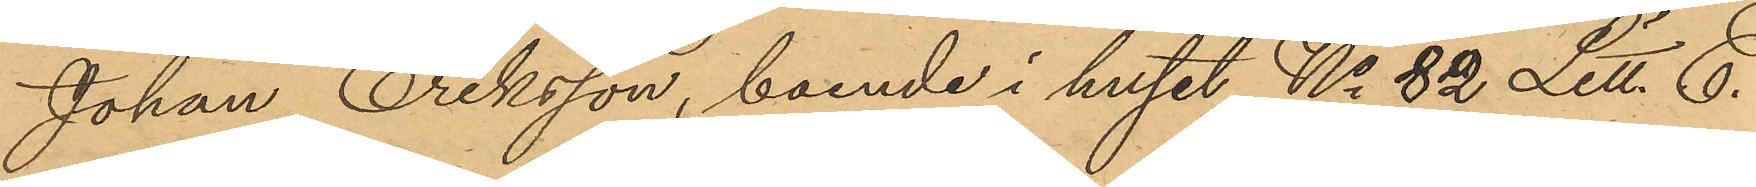Johan Eriksson, boende i huset No 82 Litt. E.
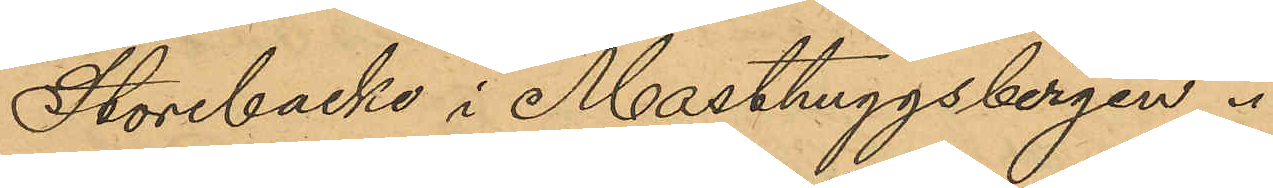Storebacke i Masthuggsbergen.
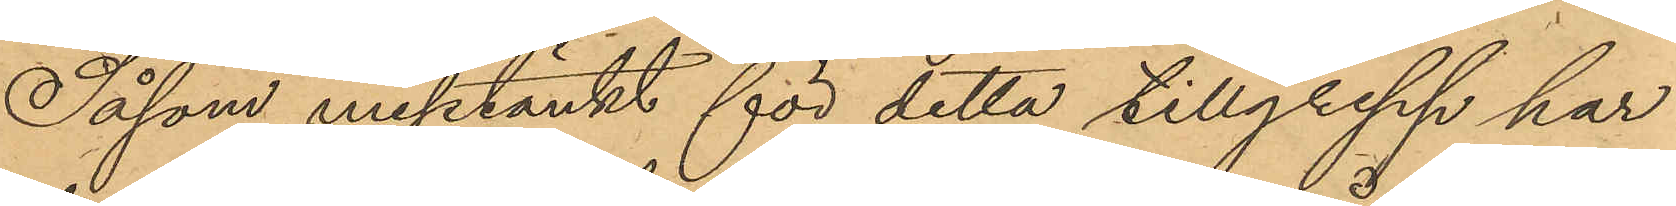Såsom misstänkt för detta tillgrepp har
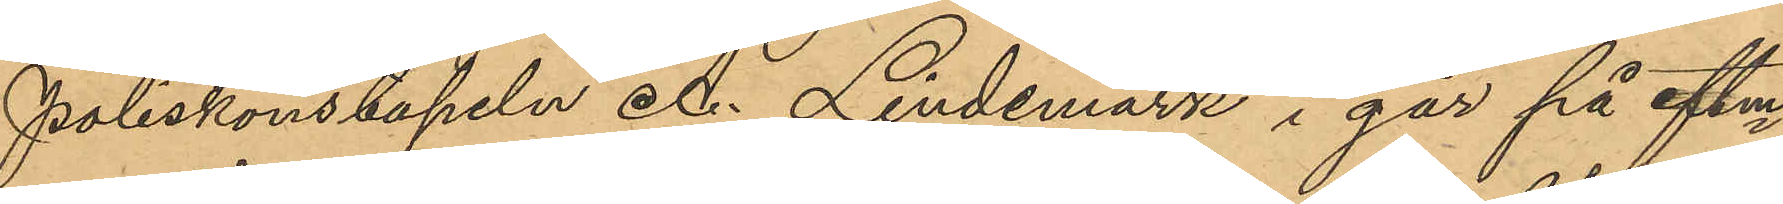Poliskonstapeln A. Lindemark i går på eftm
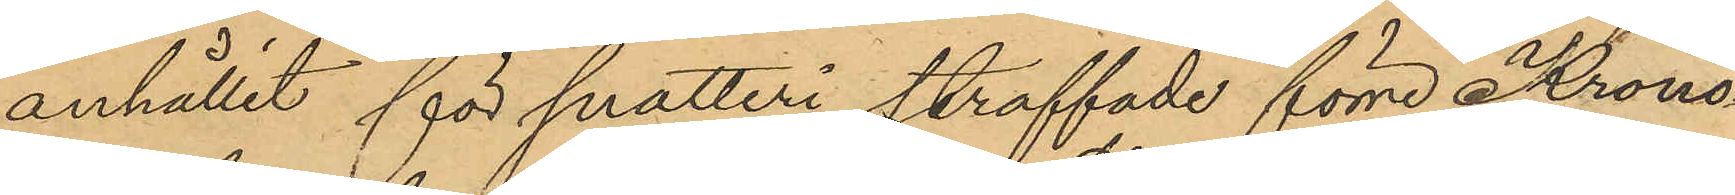anhållit för snatteri straffade förre Krono¬
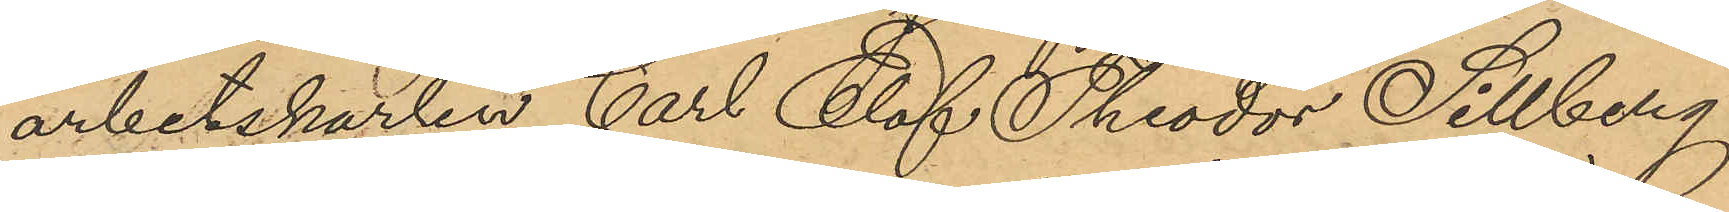arbetskarlen Carl Olof Theodor Sillberg
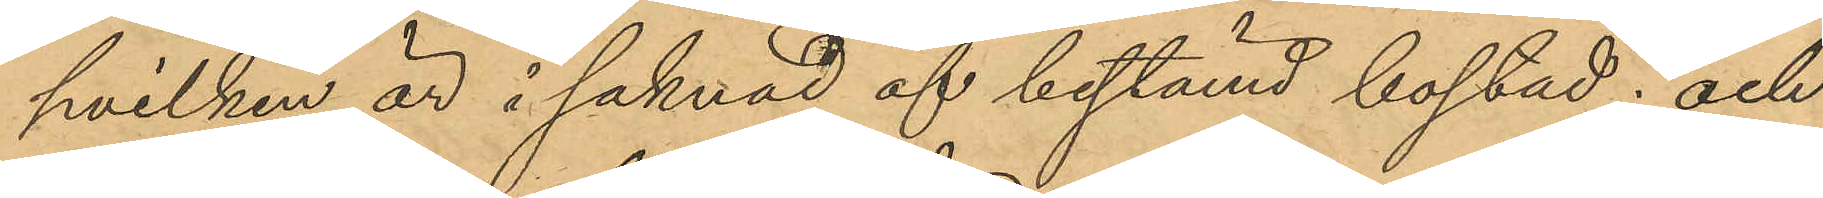hvilken är i saknad af bestämd bostad; och
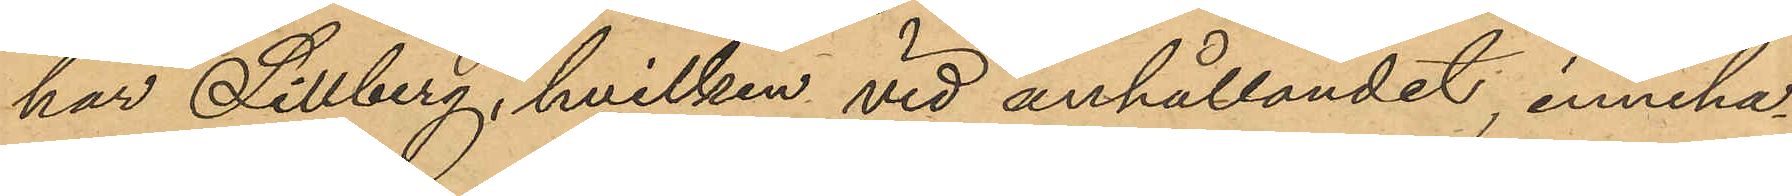har Sillberg, hvilken vid anhållandet inneha¬
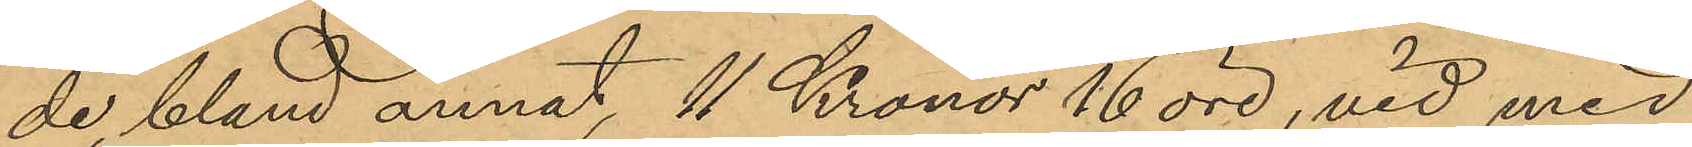de, bland annat, 11 Kronor 16 öre, vid med
